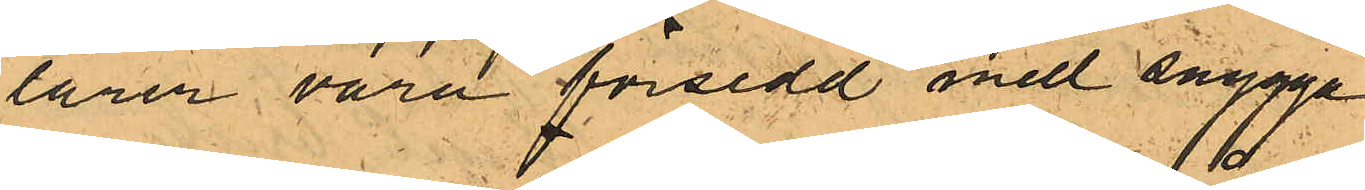lärer vara försedd med snygga
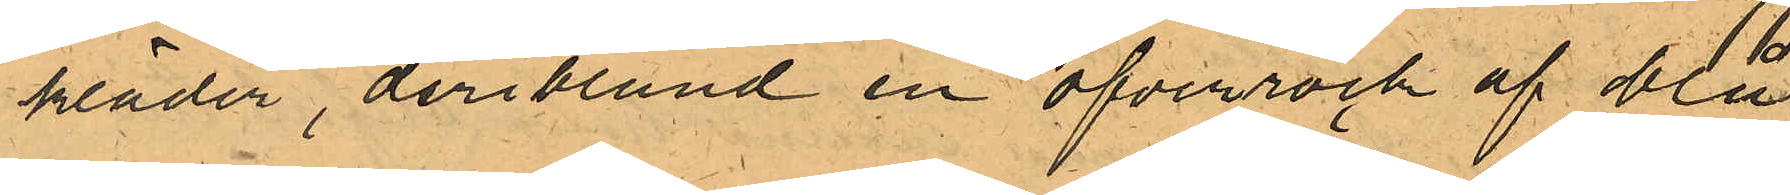kläder, deriblund en öfverrock af blå
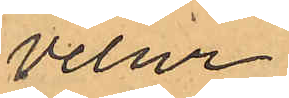velur.
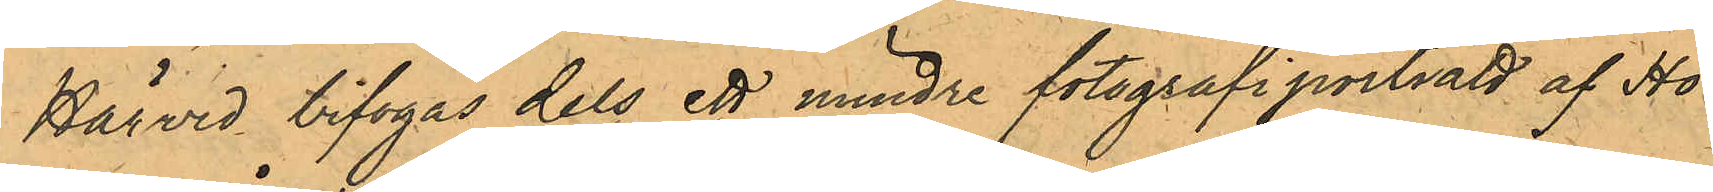Härvid bifogas dels ett mindre fotografiporträtt af Hö¬
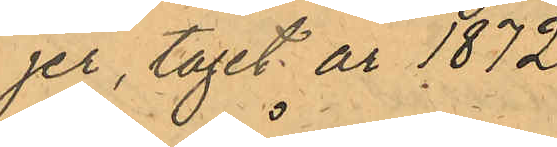jer, taget år 1872
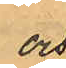och
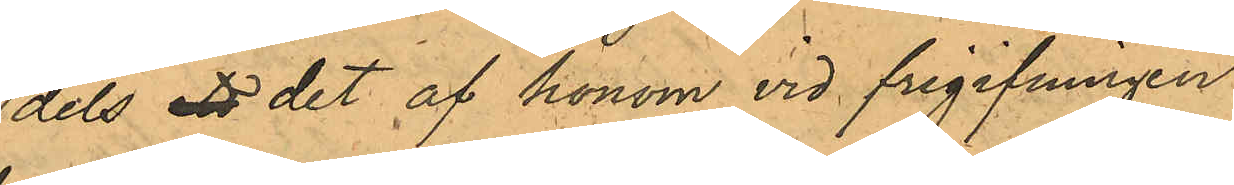dels ett det af honom vid frigifningen
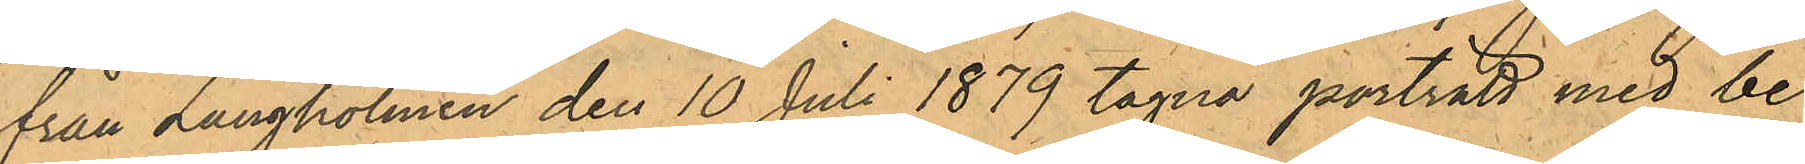från Långholmen den 10 Juli 1879 tagna porträtt med be¬
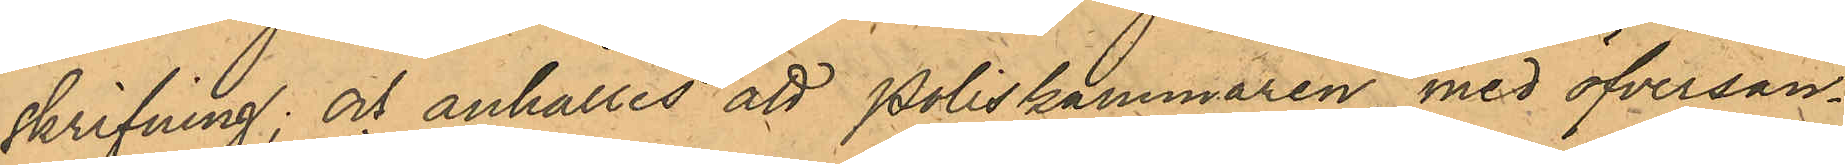skrifning; och anhålles att Poliskammaren, med öfversän¬
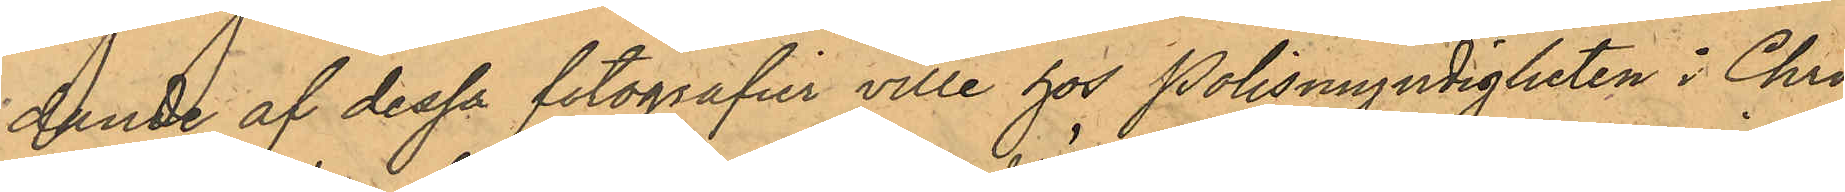dande af dessa fotografier ville hos Polismyndigheten i Chri¬
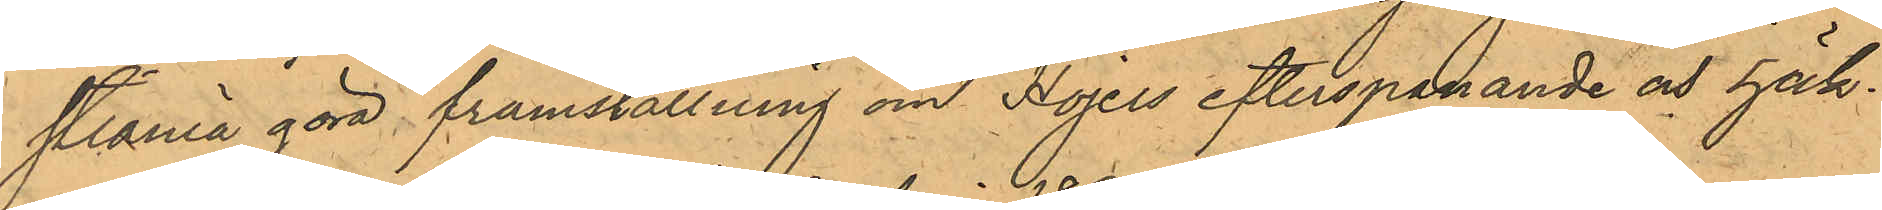stiania göra framställning om Höjers efterspanande och häk¬
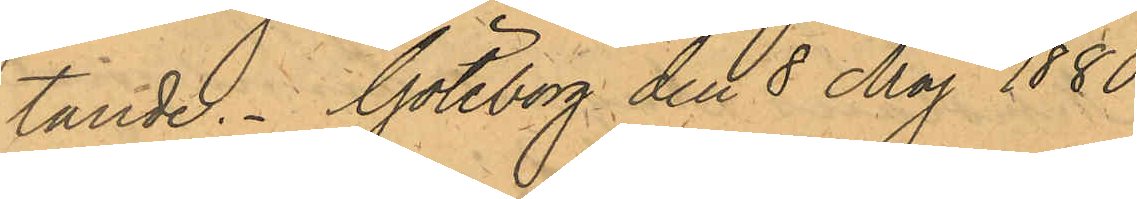tande. Göteborg den 8 Maj 1880.
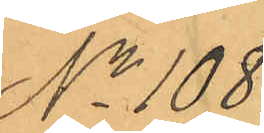No 108
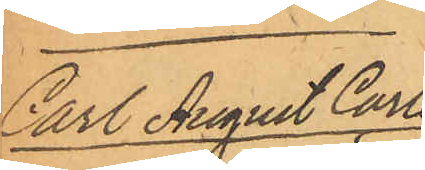Carl August Carls¬
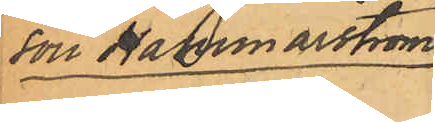son Hammarström.
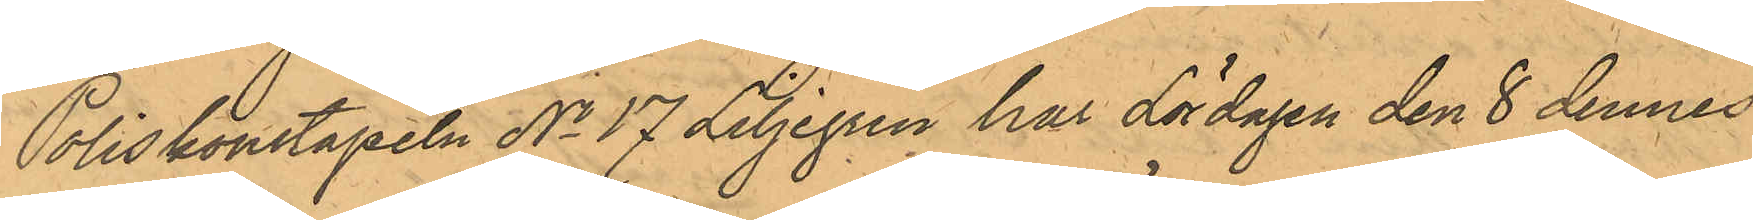Poliskonstapeln No 17 Liljegren har Lördagen den 8 dennes
